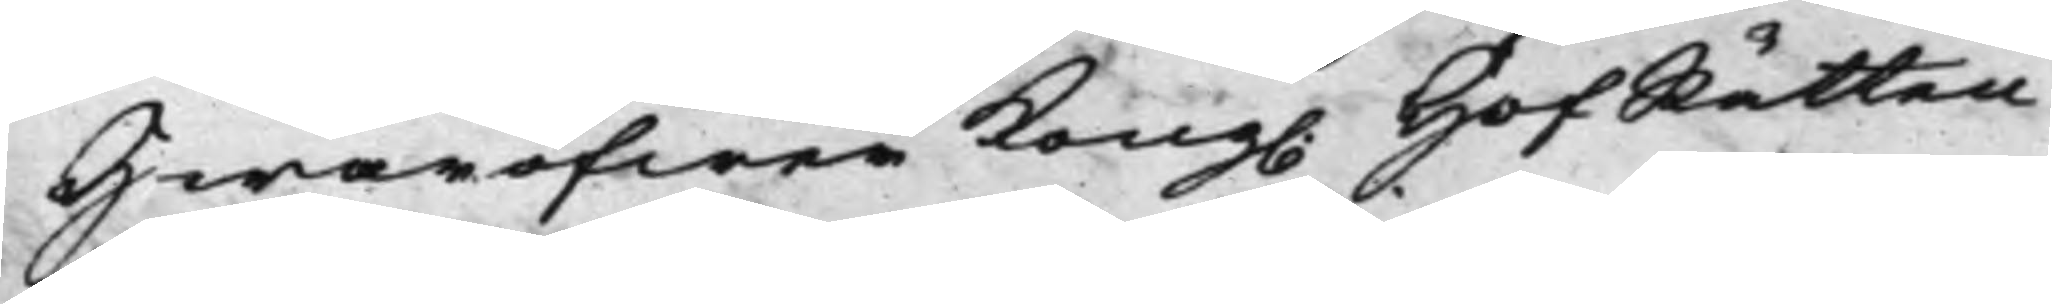Hwaröfwer Kong. HofRätten
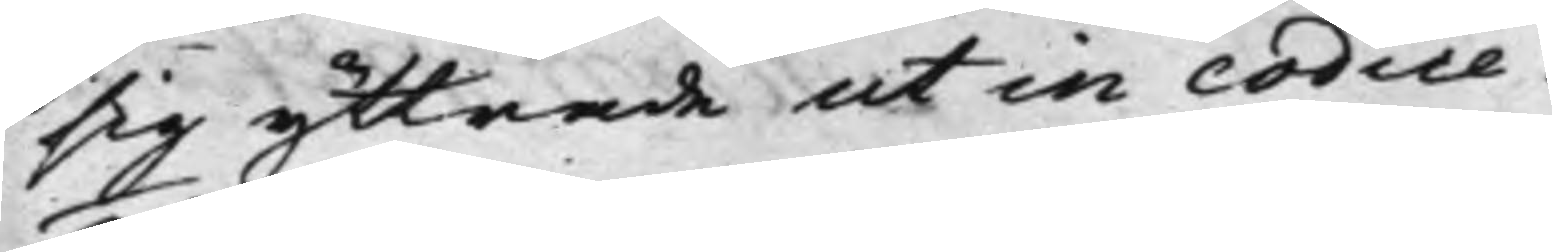sig yttrade ut in codice.
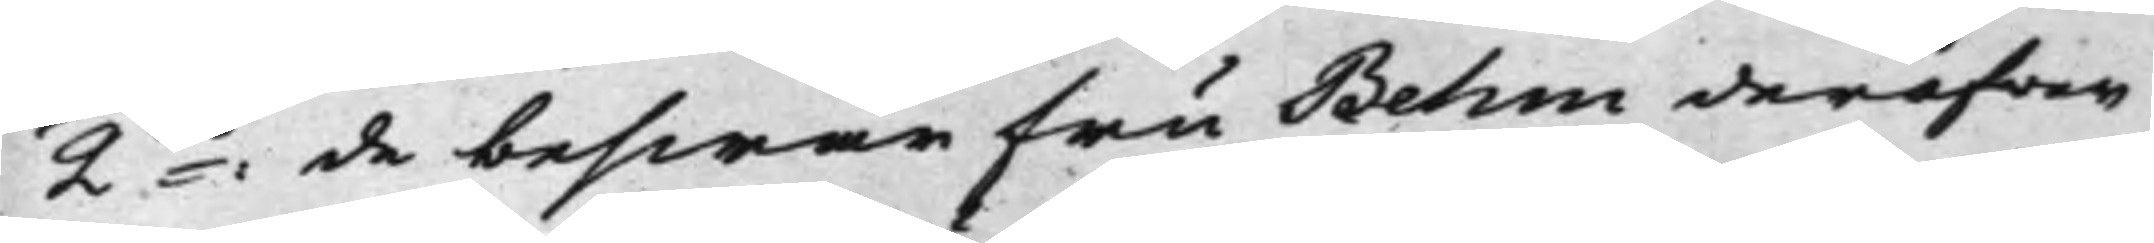2do: de beswär Fru Behm deröfver
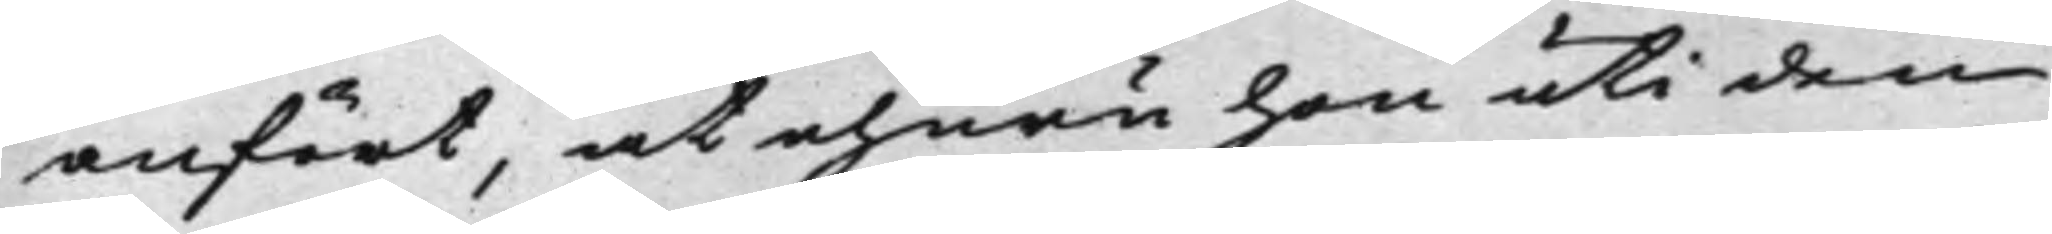anfört, at ehuru hon uti den
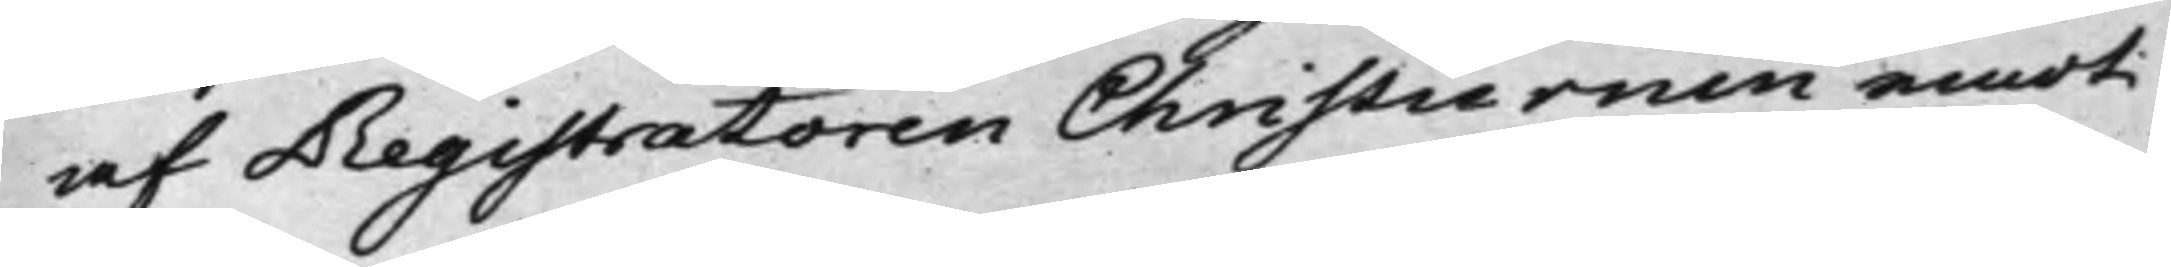af Registratoren Christiernin emot
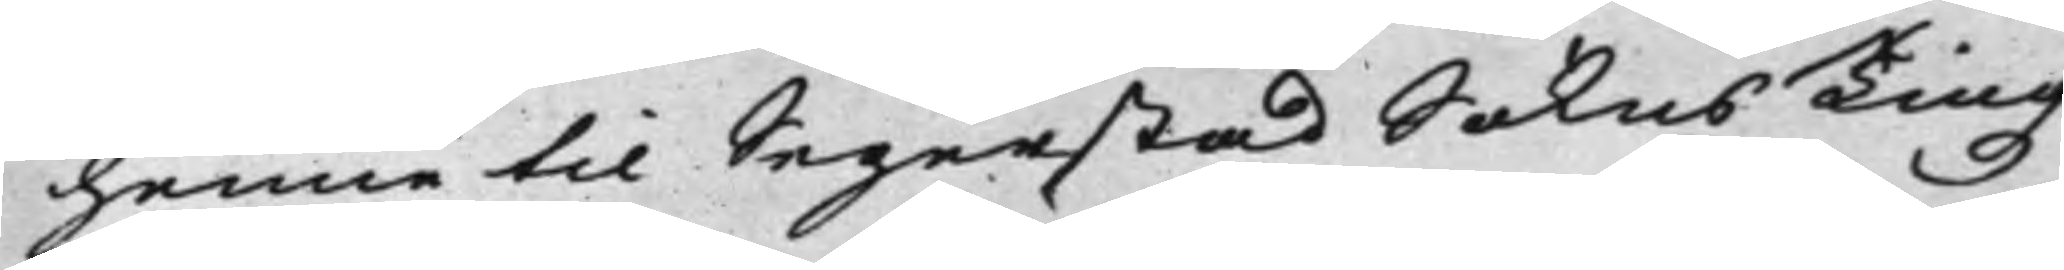henne til Segerstad Sokns Tingz¬
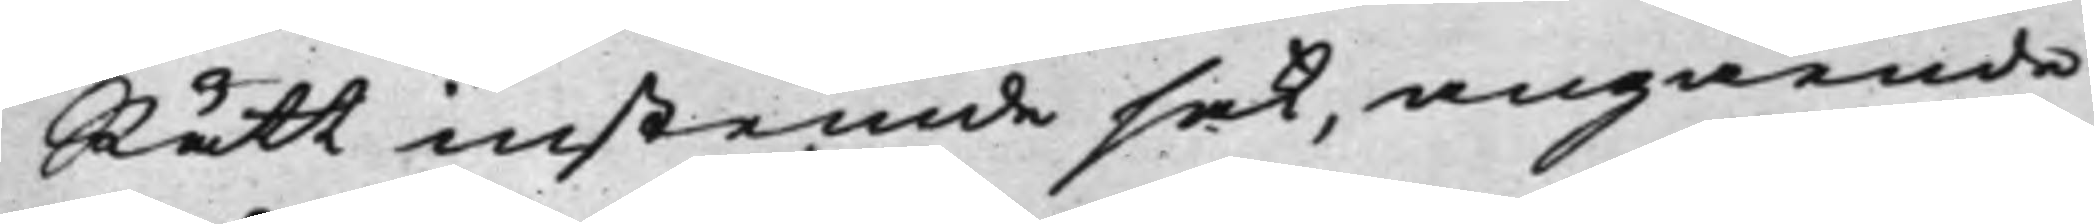Rätt instemde sak, angående
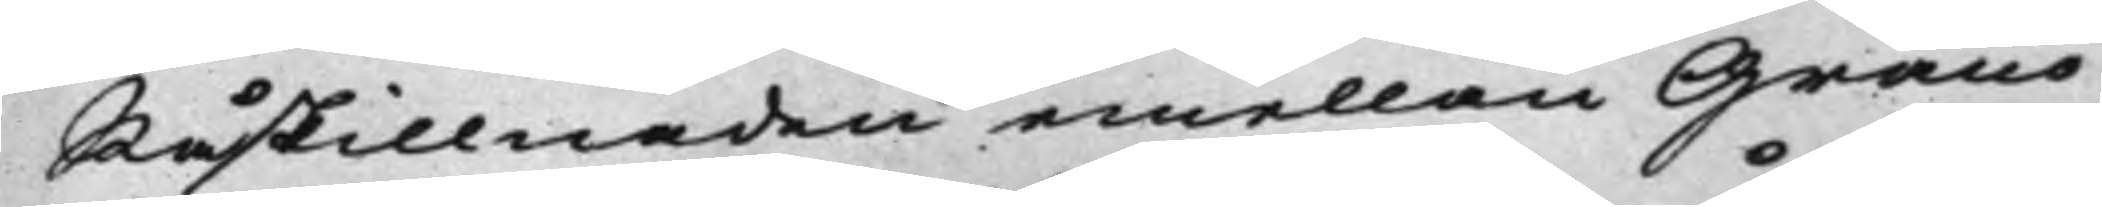Råskillnaden emellan Granö
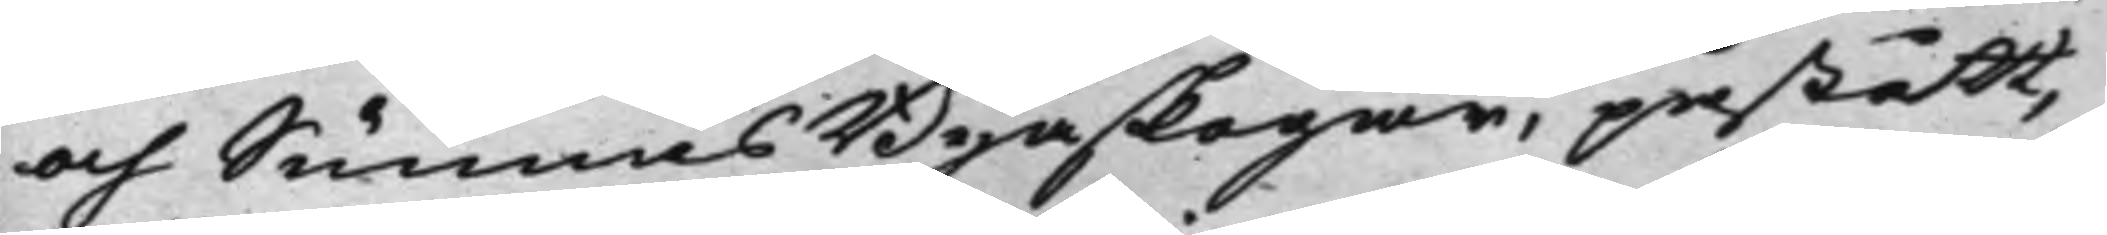och Sunnäs Byaskogar, påstått,
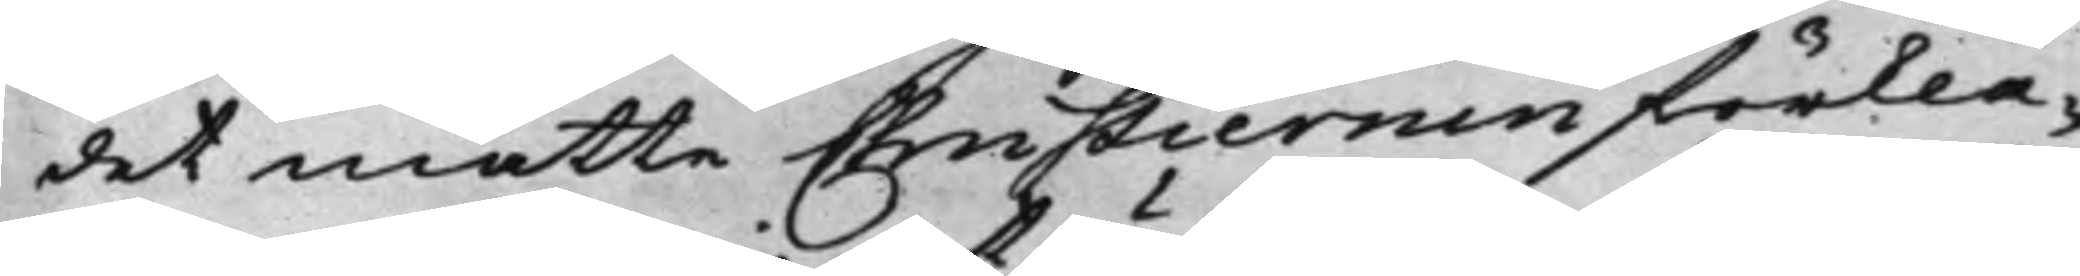det måtte Christiernin förkla¬
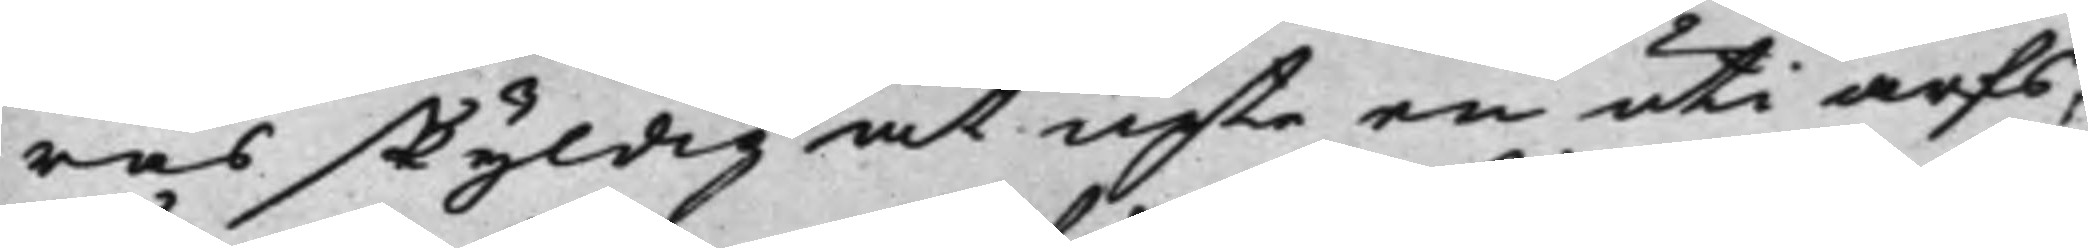ras skyldig at upta en uti arfs¬
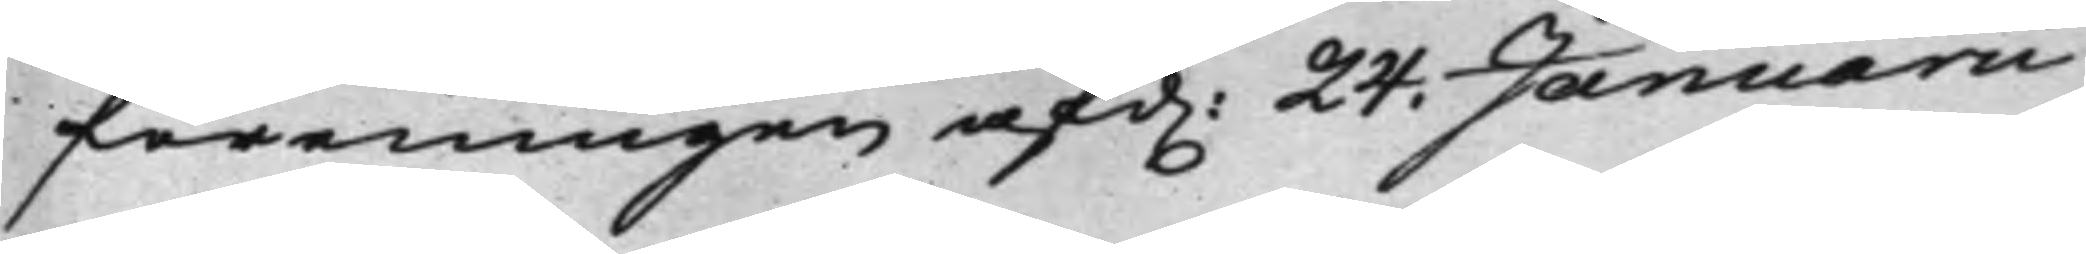föreningen af d. 24. Januarii
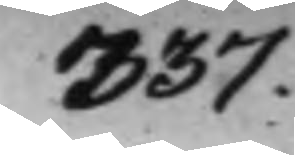337.
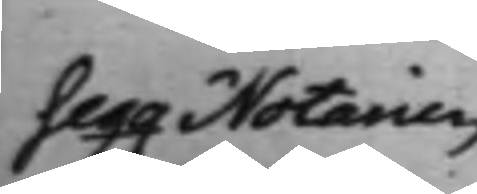Seqq Notarien
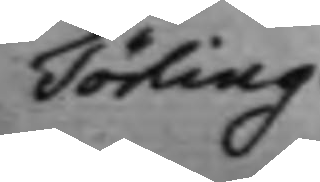Törling.
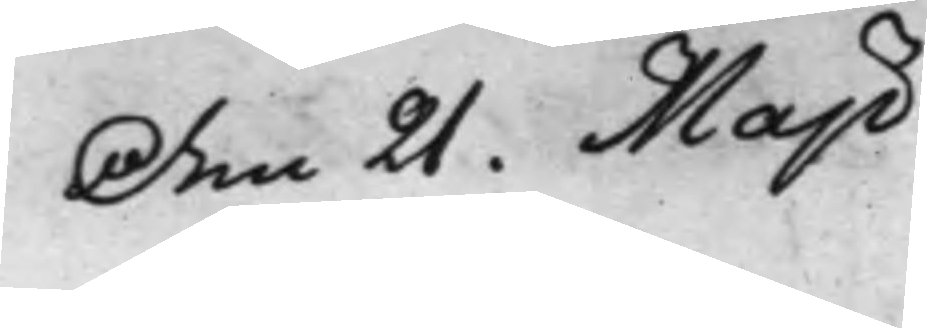Den 21. Maji
